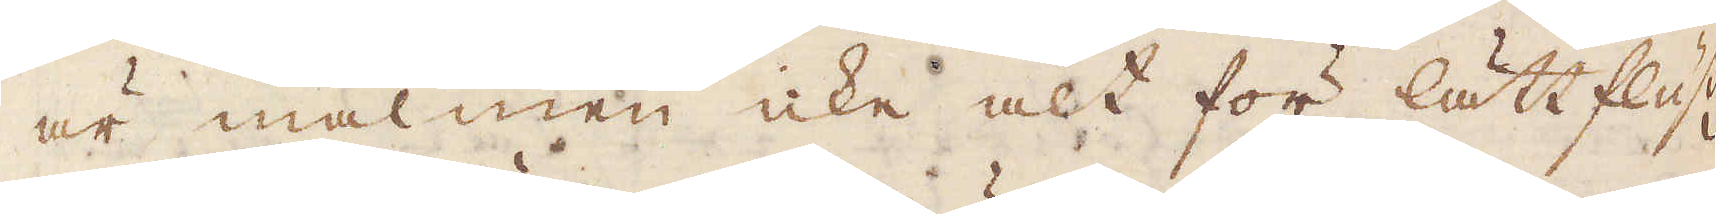är malmen icke alt för lättflusig
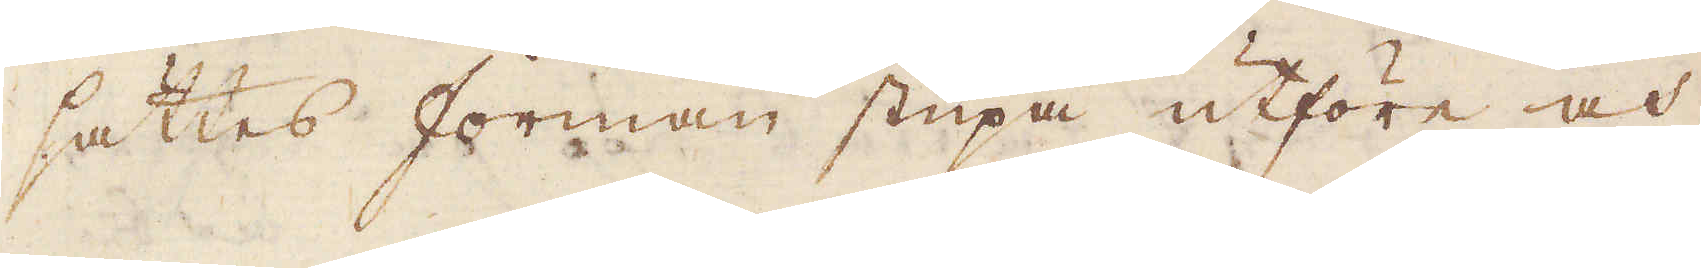sättes forman stupa utföre och
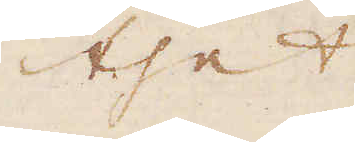thet
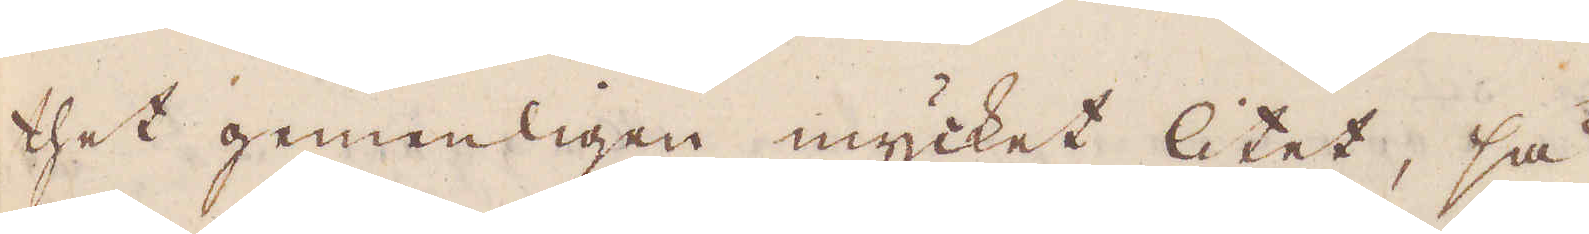thet gemenligen mycket litet, så
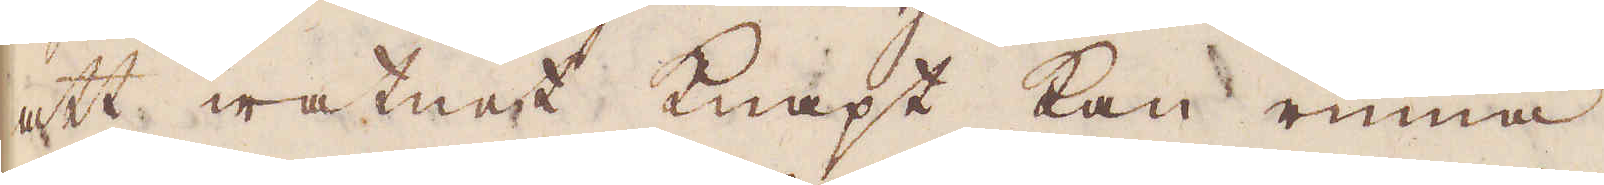att watnet knapt kan rinna
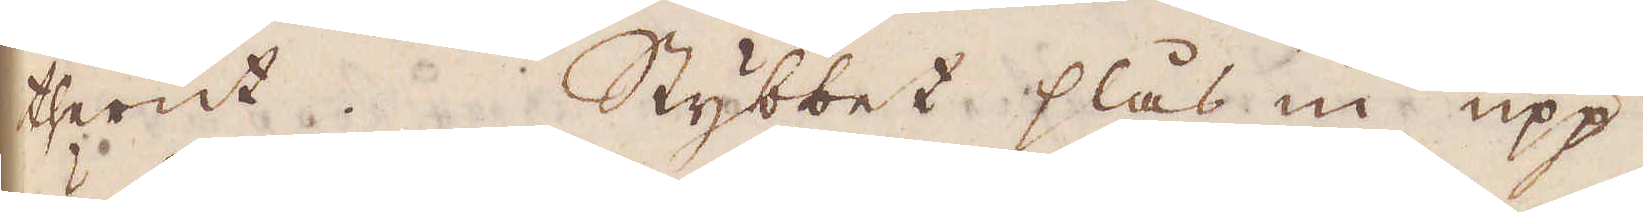therut. Stybbet slås in upp
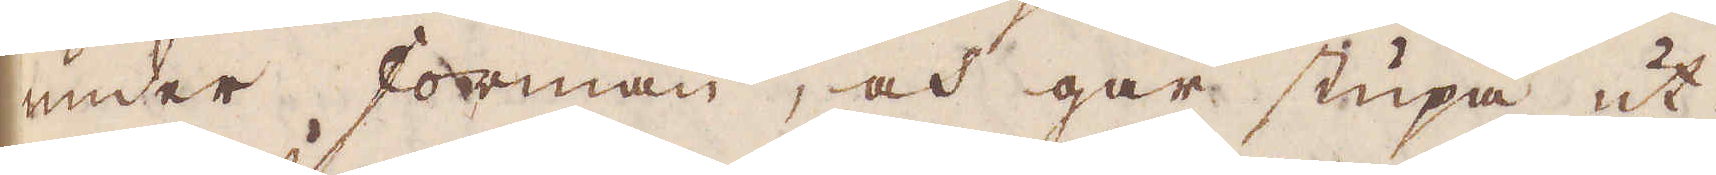under forman, och går stupa ut-
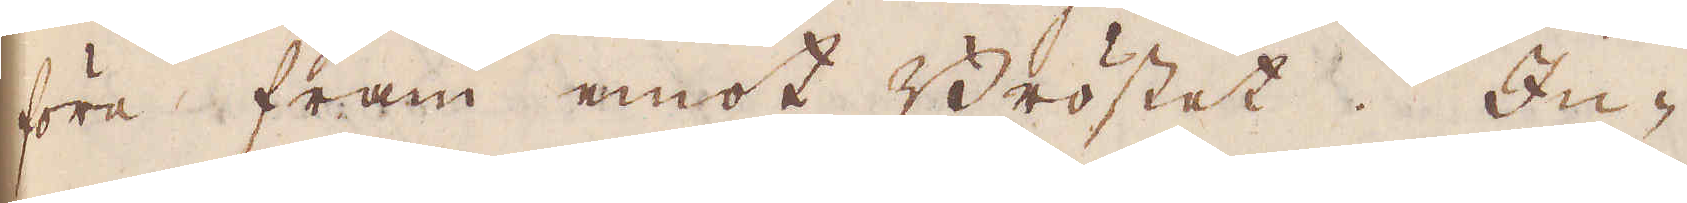före fram emot Bröstet. In-
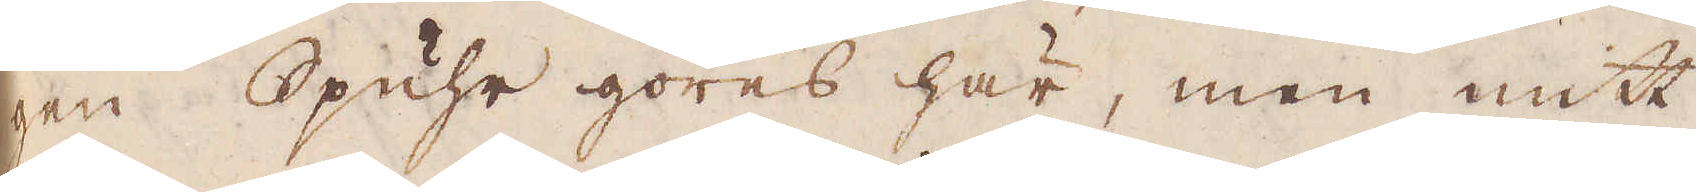gen Spuhr göres här, men mitt
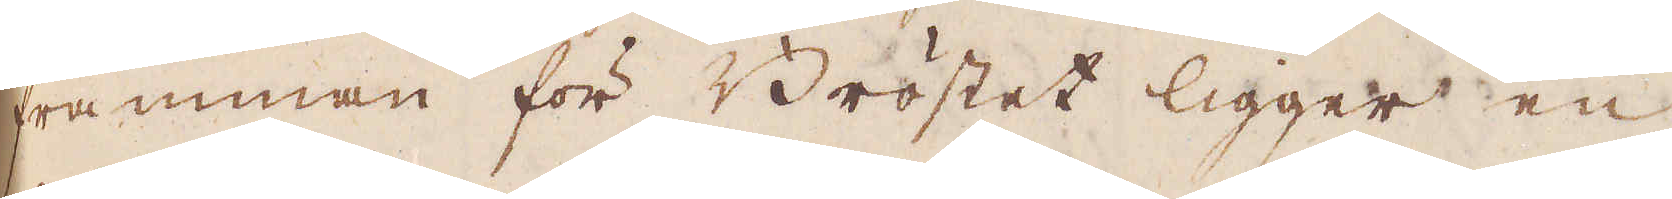framman för Bröstet ligger en
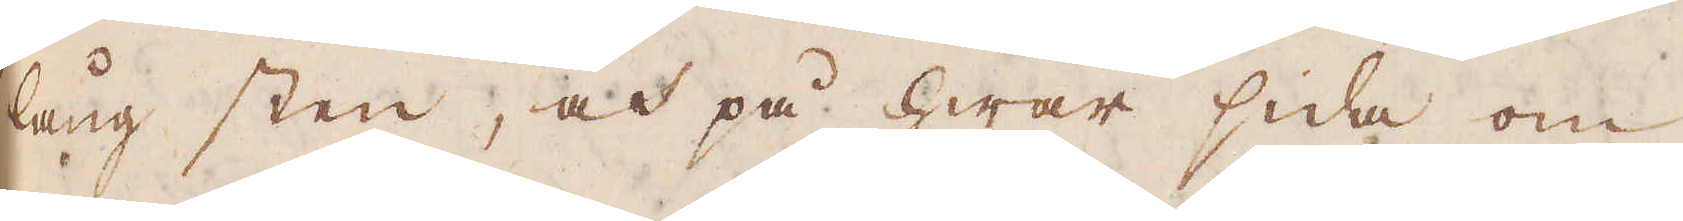lång sten, och på hwar sida om
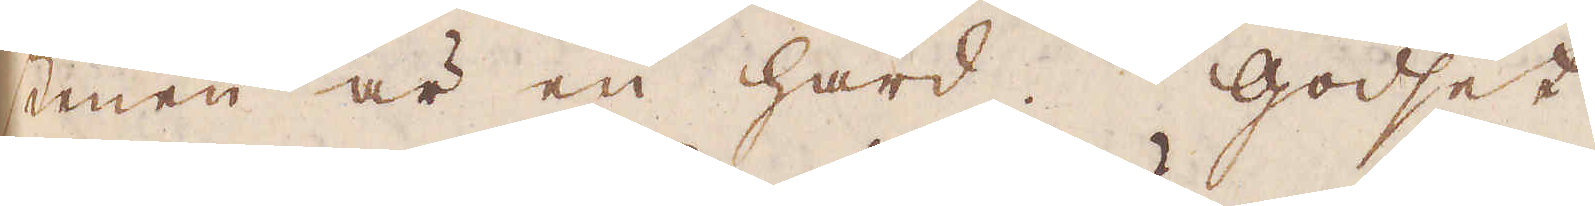stenen är en härd. Godset
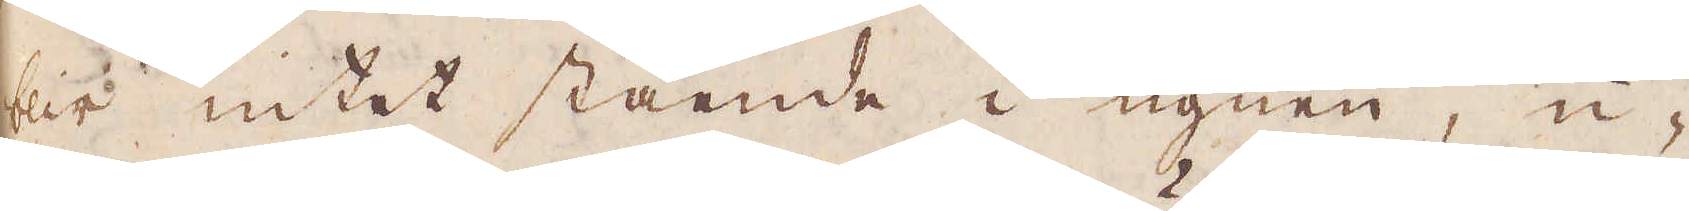blir intet stående i ugnen, u-
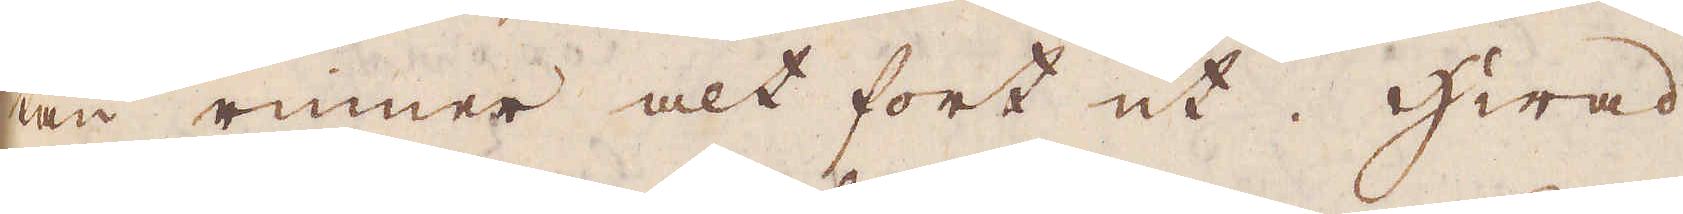tan rinner alt fort ut. Hwad
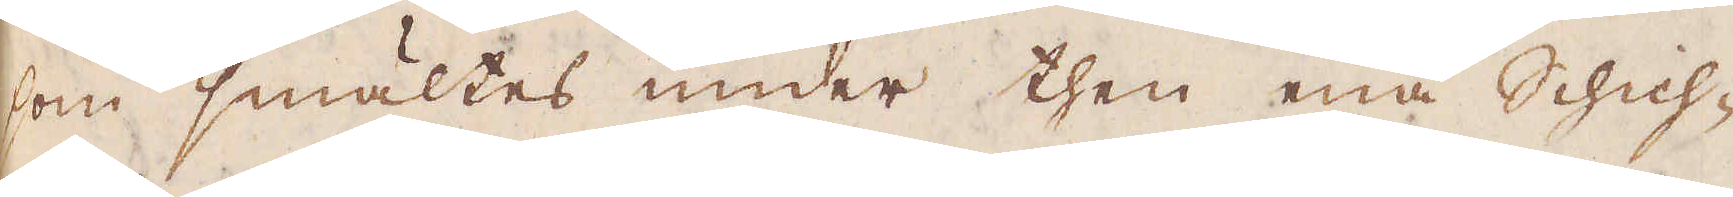som smältes under then ena Schich-
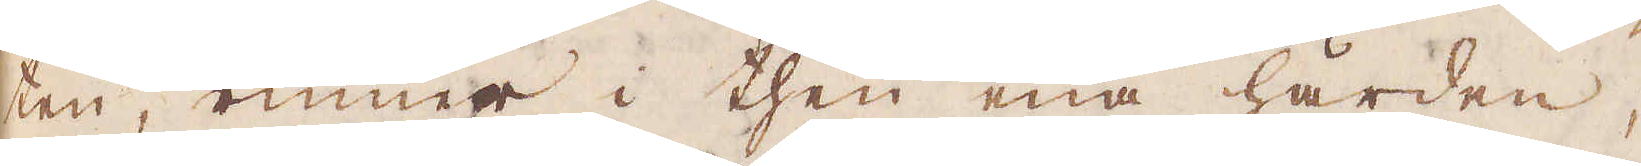ten, rinner i then ena härden,
